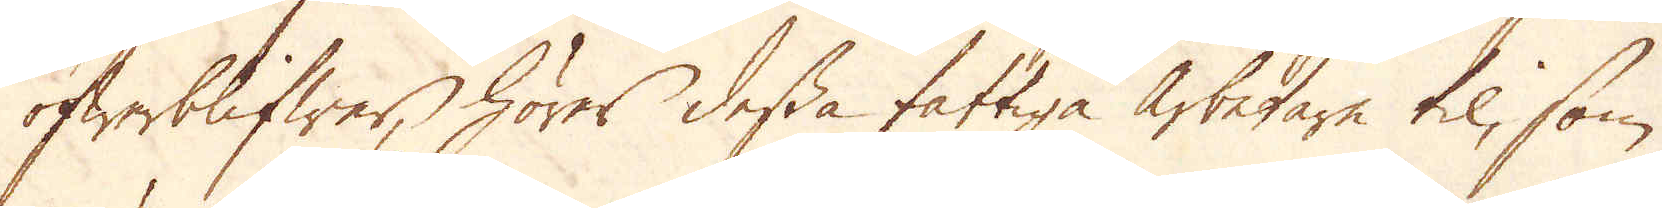öfwerblifwer, hörer dessa fattiga arbetare til, som
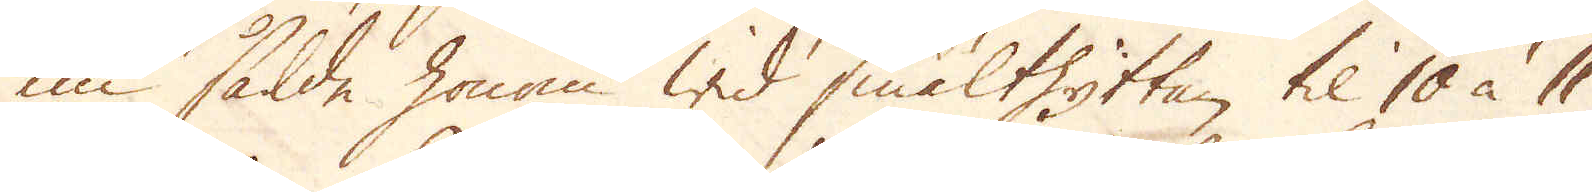nu sålde honom wid smälthytta til 10 à 11
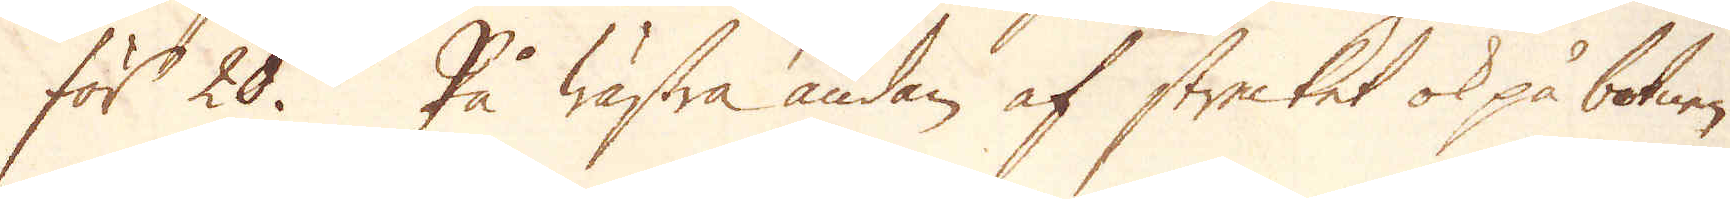för 20. På wästra ändan af strecket ok på botnen
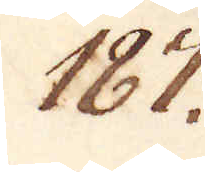187.
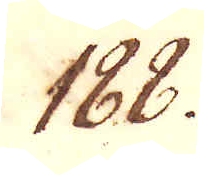168.
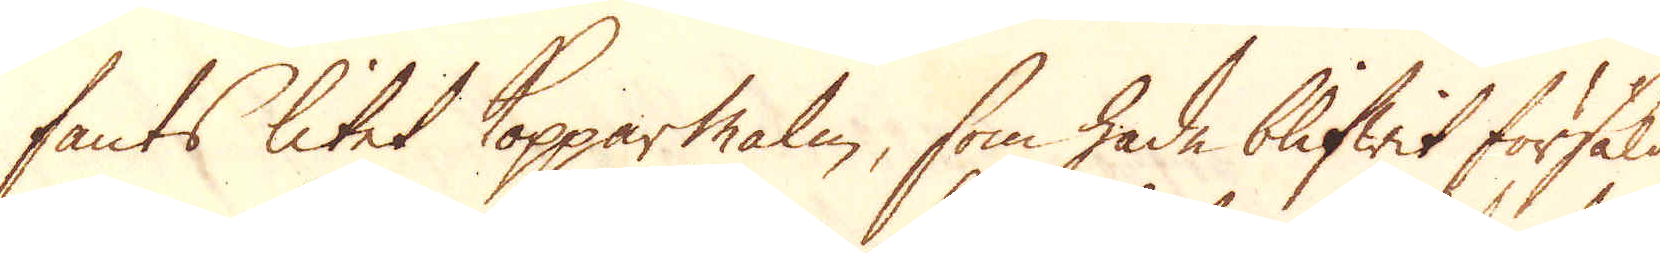fants litet Kopparmalm, som hade blifwit försåld
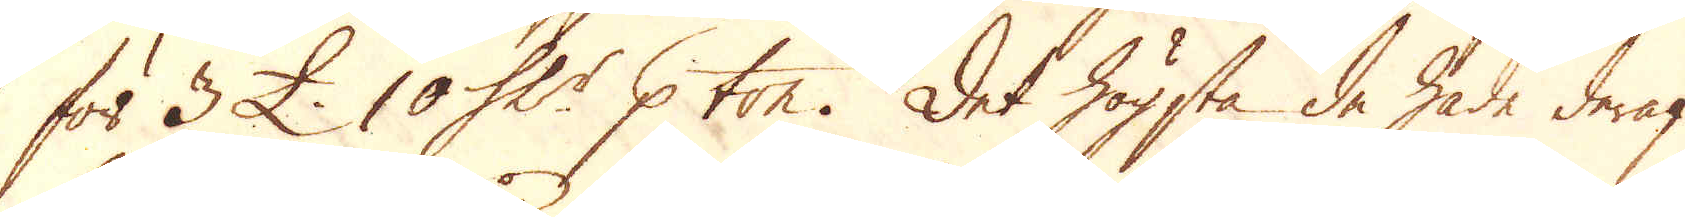för 3 £. 10 Sk:r p ton. Det högsta de hade deraf
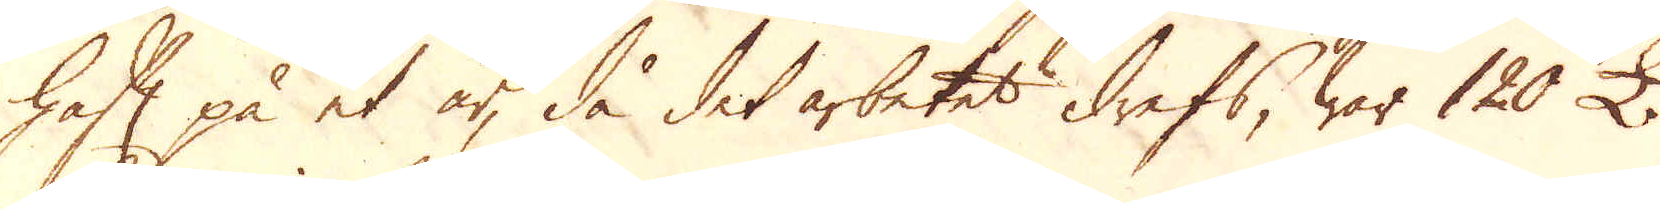haft på et år, då det arbetet drefs, war 120 £.
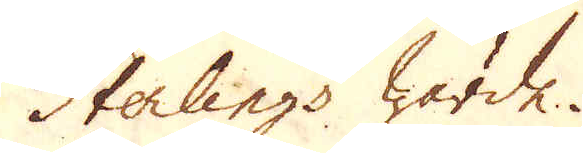Sterlings wärde.
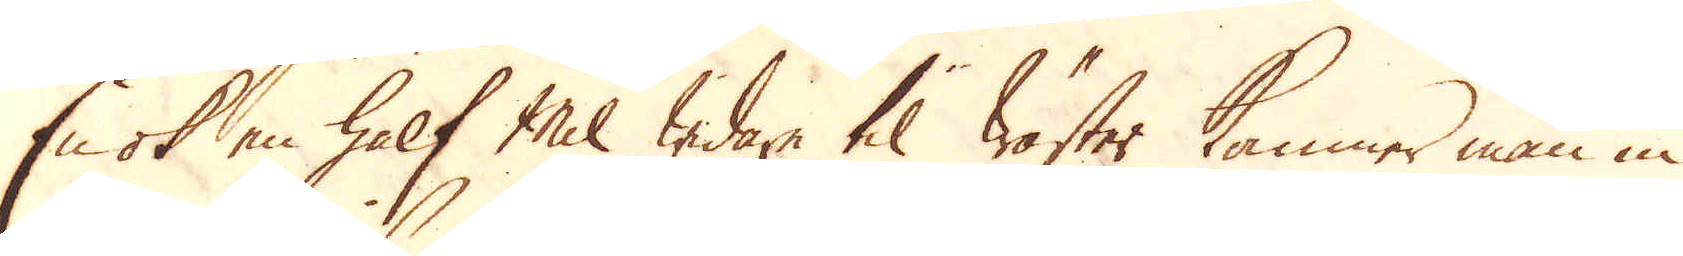En ok en half Mil widare til wäster kommer man in
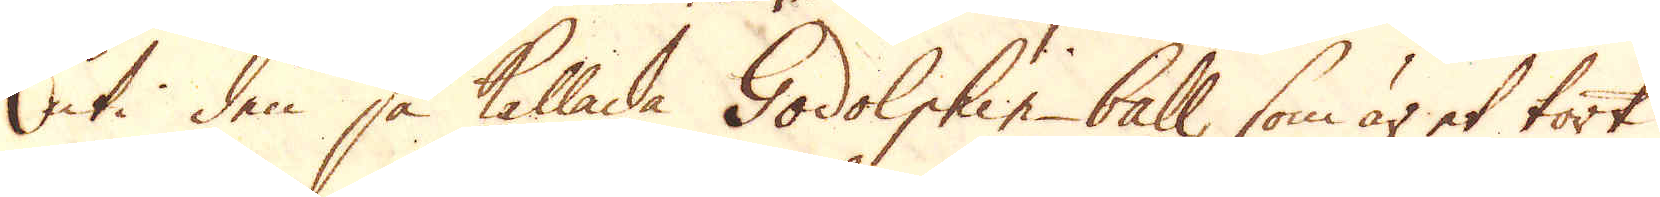uti den så kallade Godolphin-ball, som är et tort
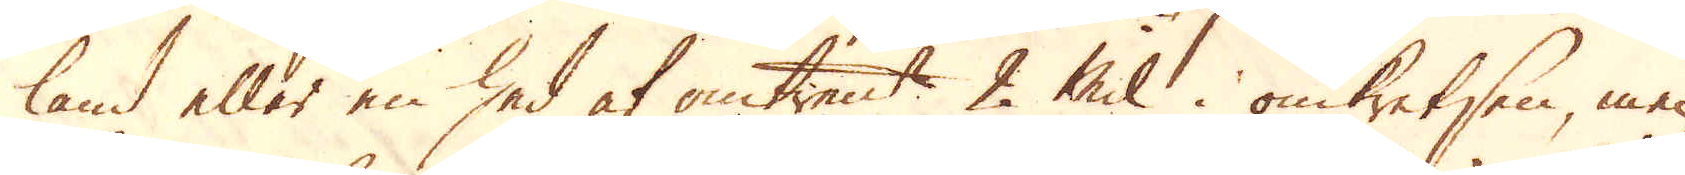land eller en hed af omtrent 2 Mil i omkretsen men
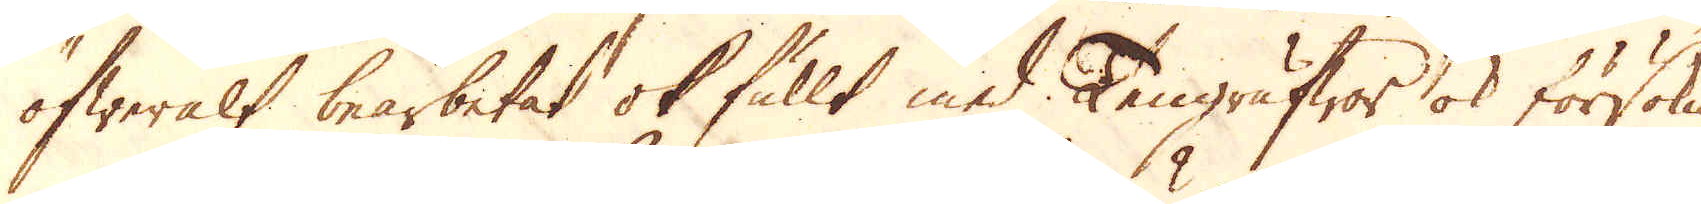öfweralt bearbetat ok fullt med Tengrufwor ok försöknin-
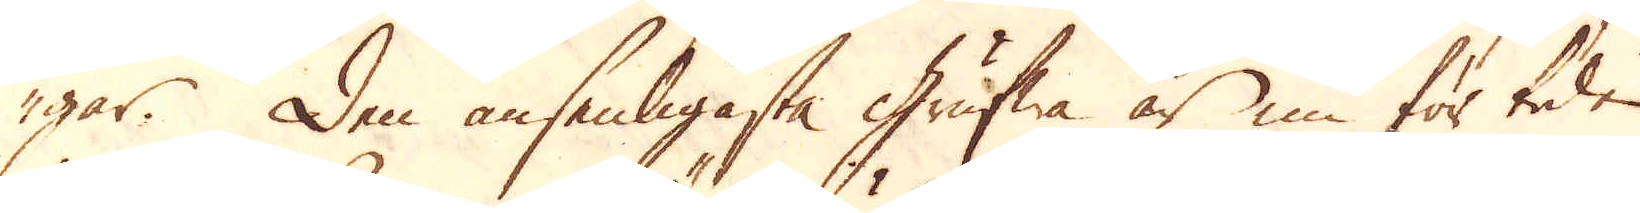gar. Den ansenligasta grufwa är nu för tiden
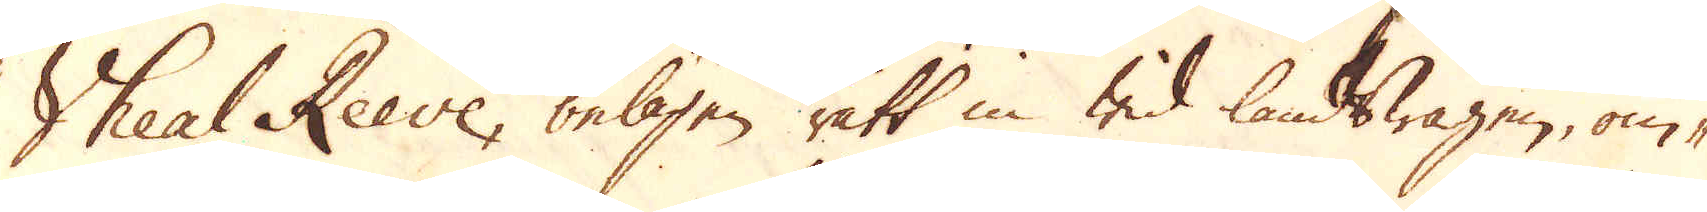Sheal Reeve, belägen rätt in wid landswägen, om-
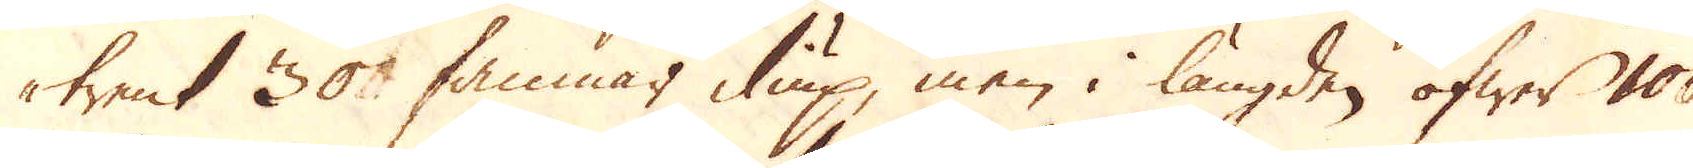trent 30 famnar diup, men i längden öfwer 100
